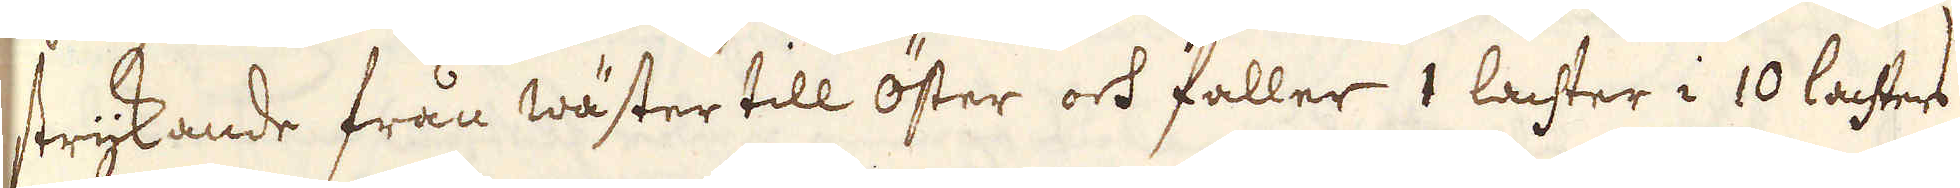strykande från wäster till öster och faller 1 lachter i 10 lachters
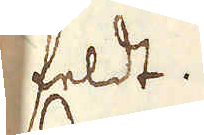feldt.
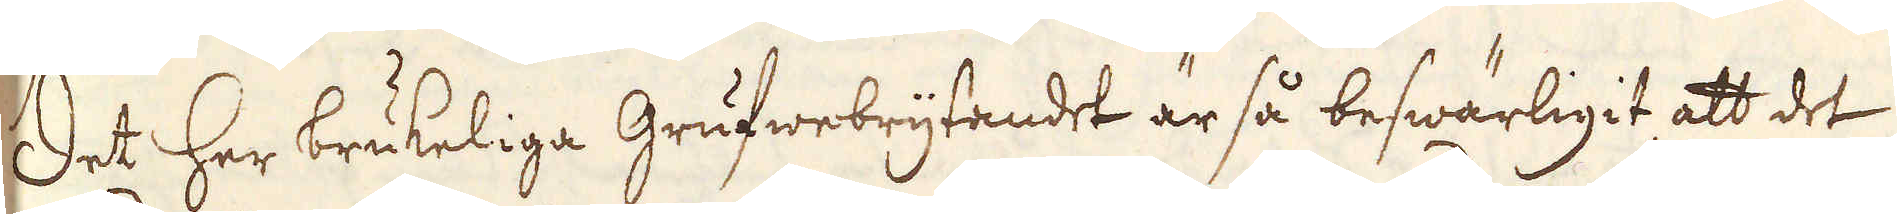Det her brukeliga Grufwebrytandet är så beswärligit, att det
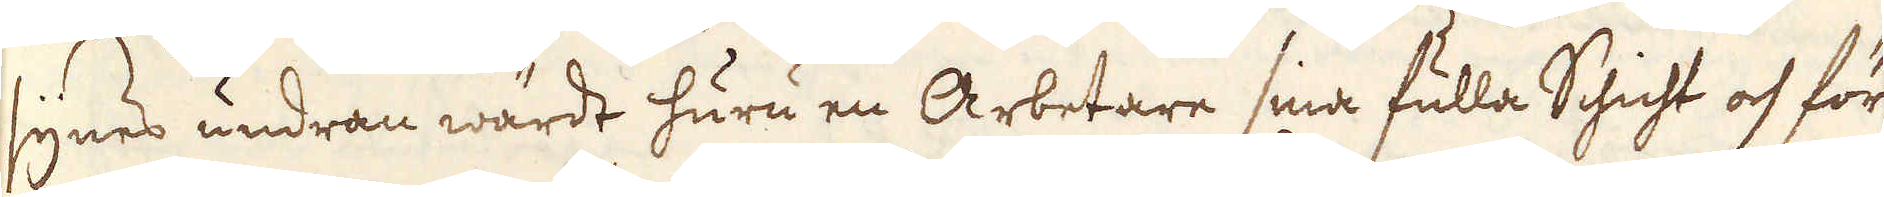synes undran wärdt huru en Arbetare sina fulla Schicht och för
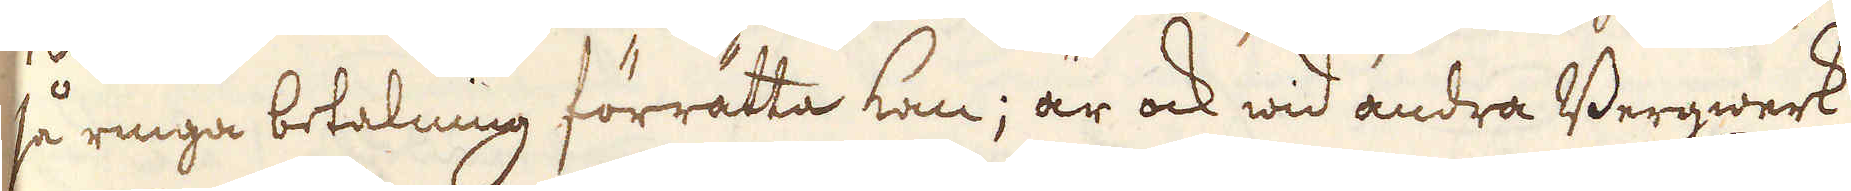så ringa betalning förrätta kan; är ock wid andra Bergwerk
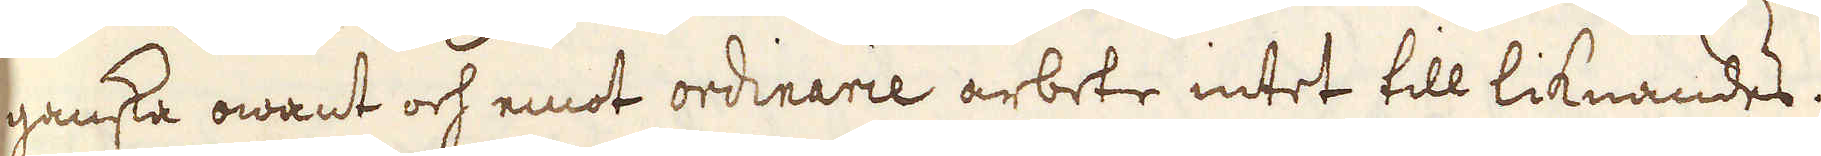ganska owant och emot ordinarie arbete intet till liknandes.
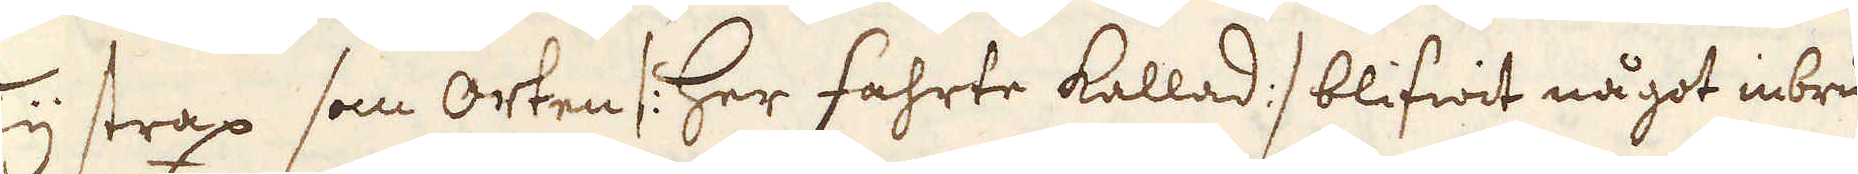Ty strax som orten /: her Fahrte kallad :/ blifwit något inbru-
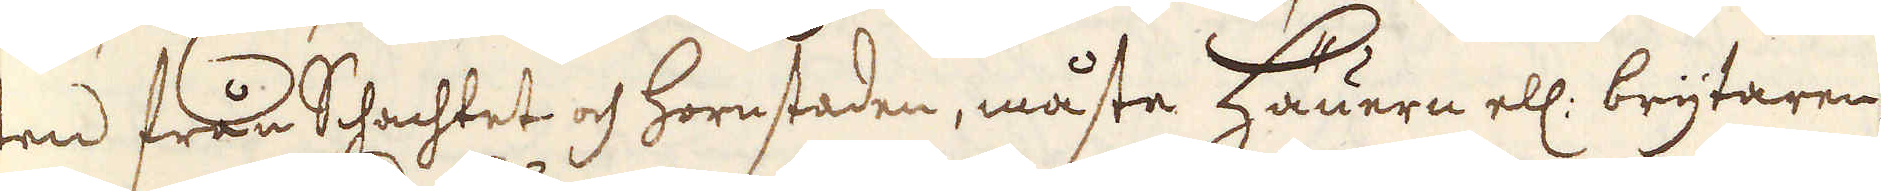ten från Schachtet och Hornstaden, måste Häuern ell: brytaren,
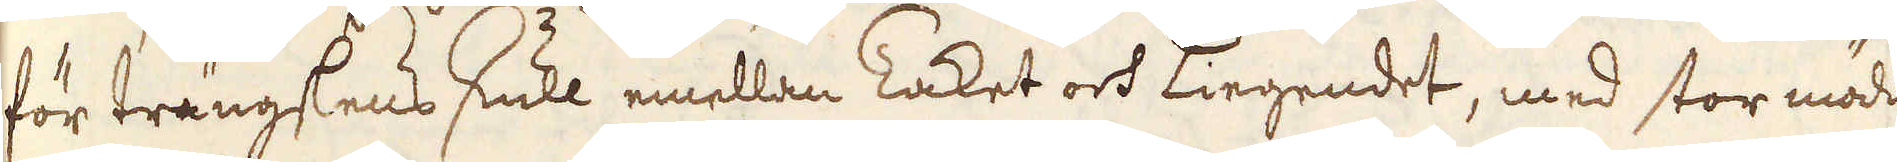för trängslens skull emellan Taket och Liegendet, med stor möda
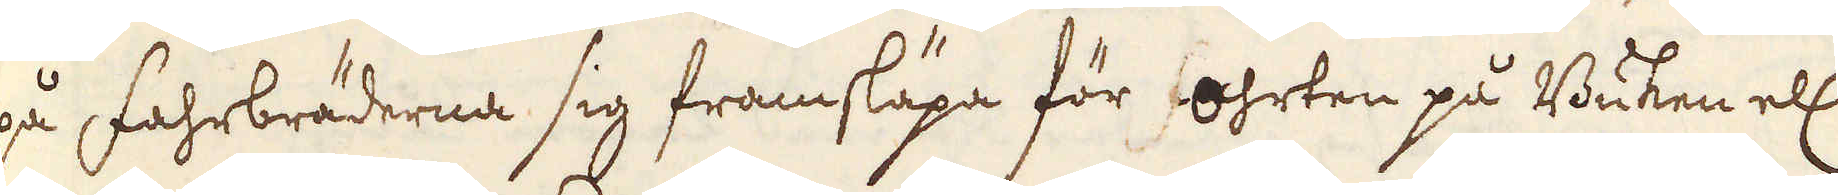på Fahrbräderna sig framsläpa för ohrten på Buken ell:
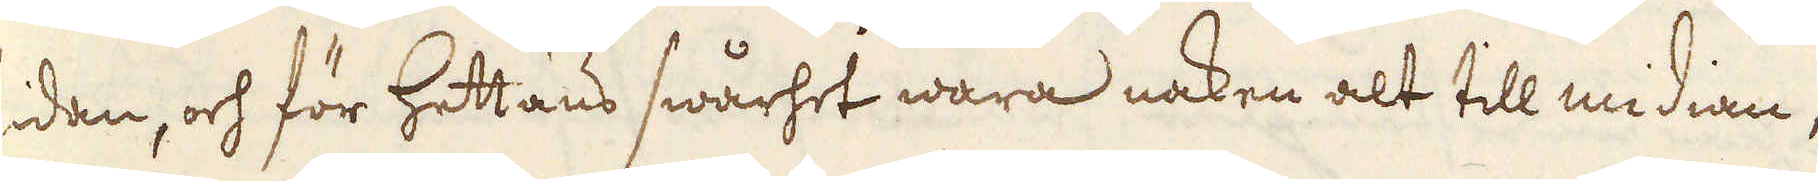sidan, och för Hettans swårhet wara naken alt till midian,
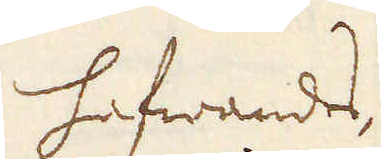hafwandes,
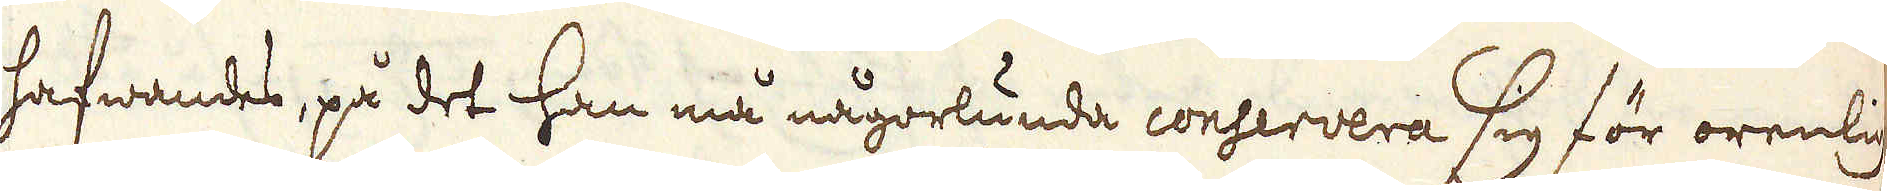hafwandes, på det han må någorlunda conservera sig för orenlig-
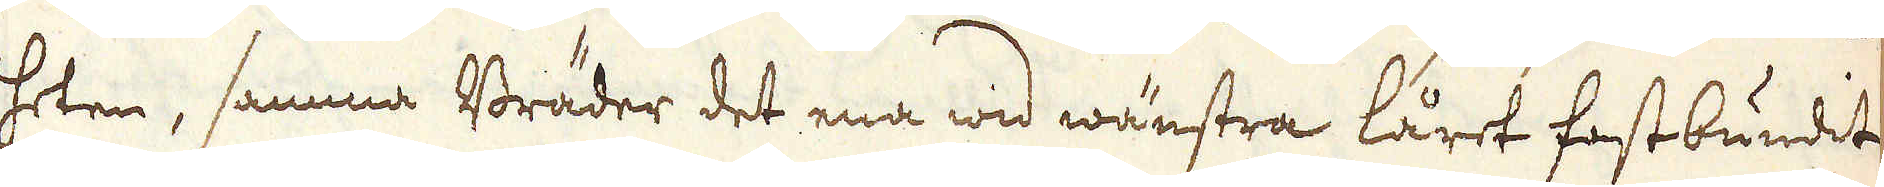heten, samma Bräder det ena wid wänstra låret fastbundit
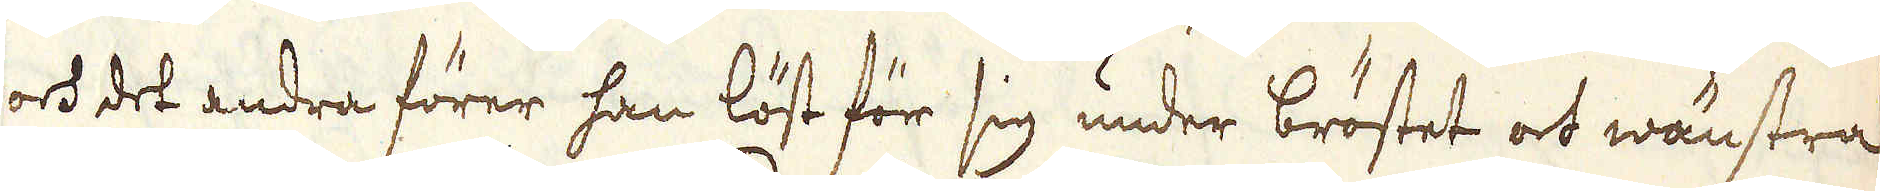och det andra förer han löst för sig under bröstet och wänstra
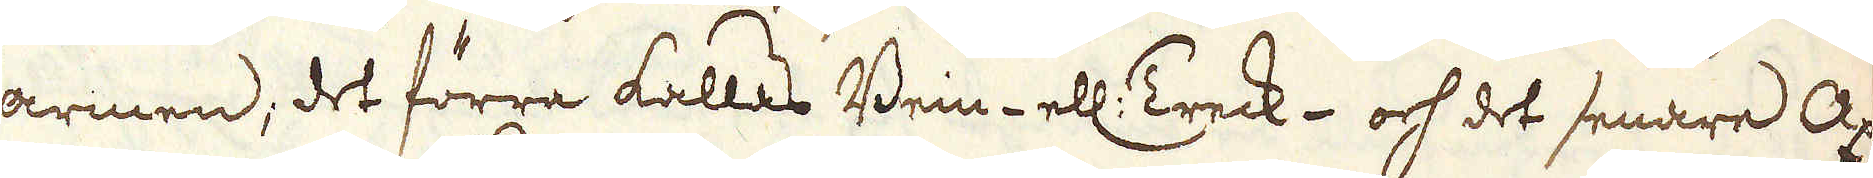armen; det förra kallas Bein- ell: Treck- och det senare Ax-
